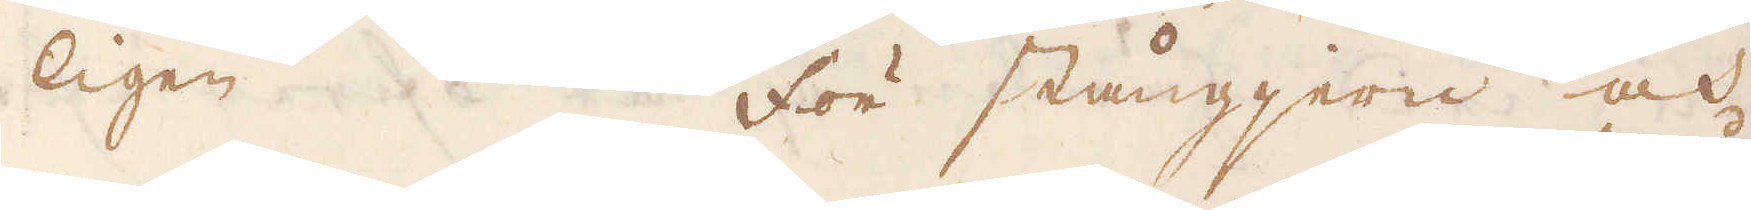ligen. För stångjern och
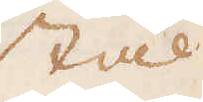stål
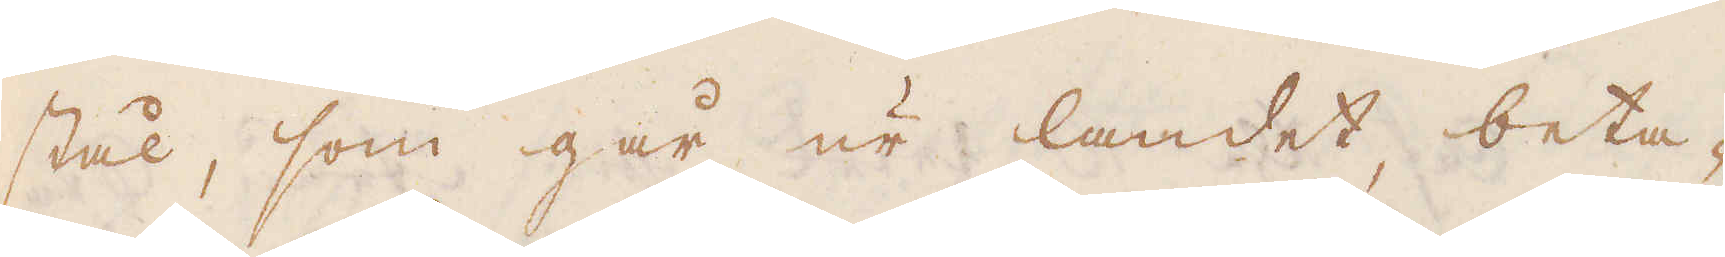stål, som går ur landet, beta-
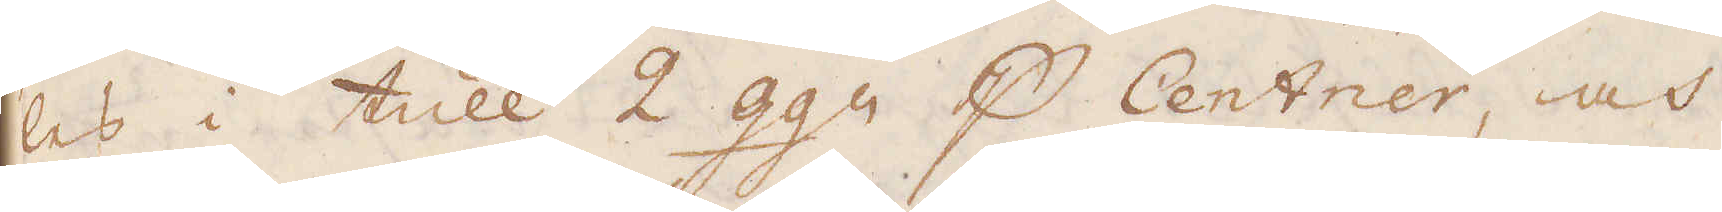les i tull 2 ggr p Centrer, och
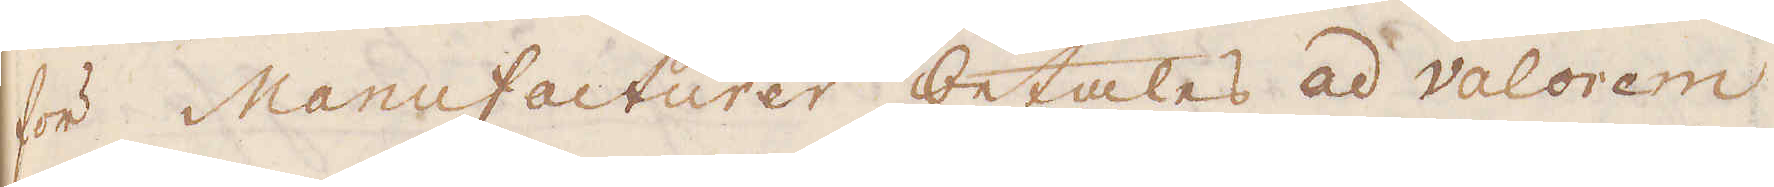för Manufacturer betalas ad Valorem
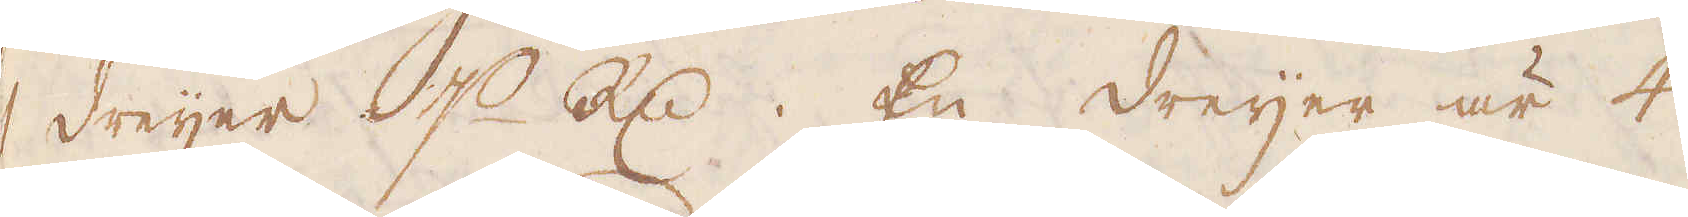1 dreijer p R:d. En dreijer är 4
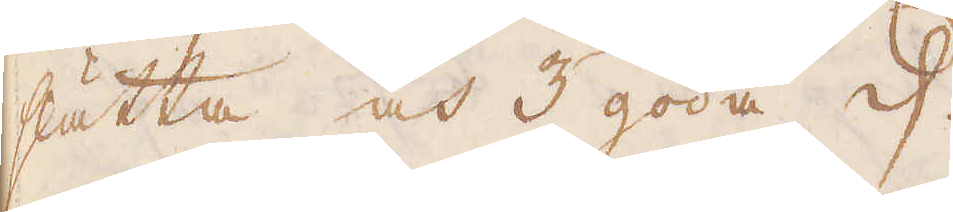slätta och 3 goda d.
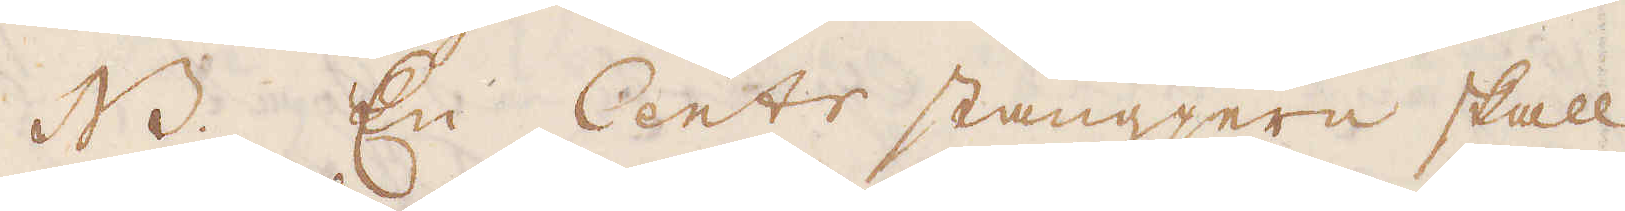NB. En Centr stångjern skall
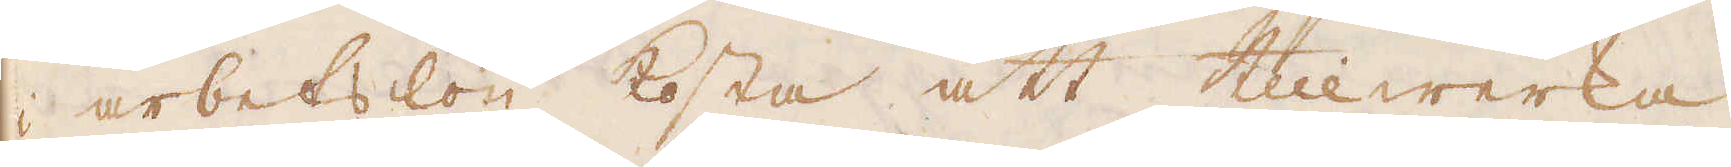i arbetslön kosta att tillwerka
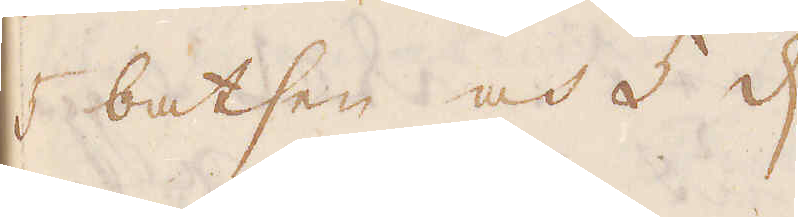5 batsen och 5 d.
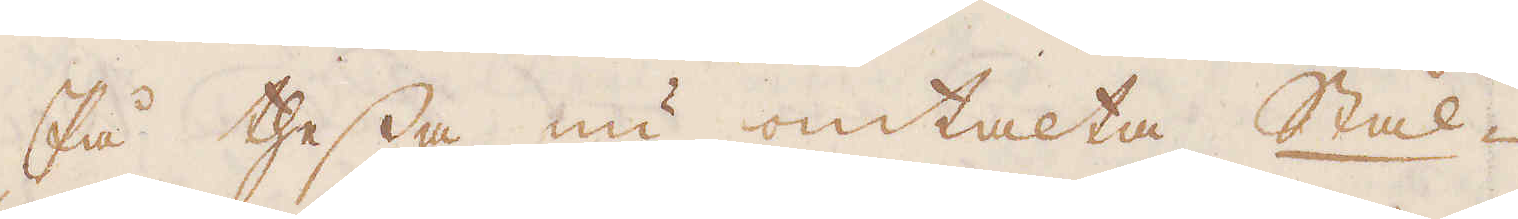På thessa nu omtalta Stål-
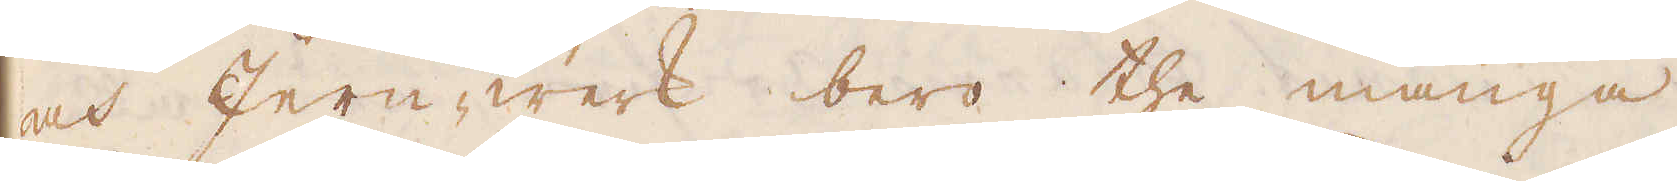och Jern-werk bero the många
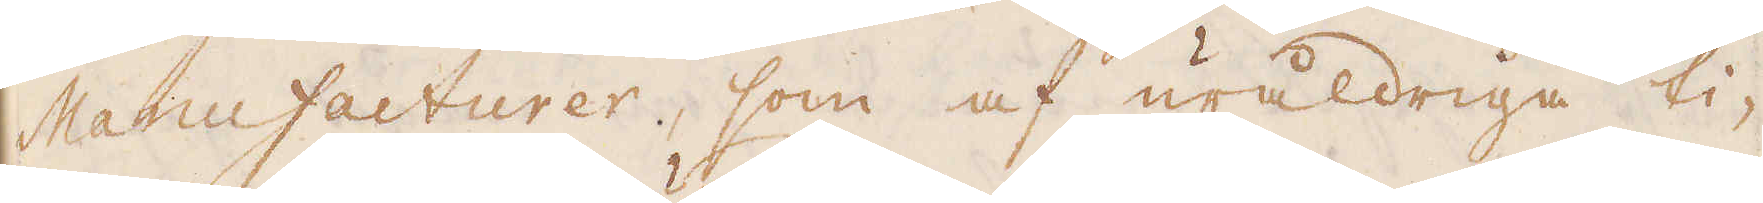Manufacturer, som af uråldriga ti-
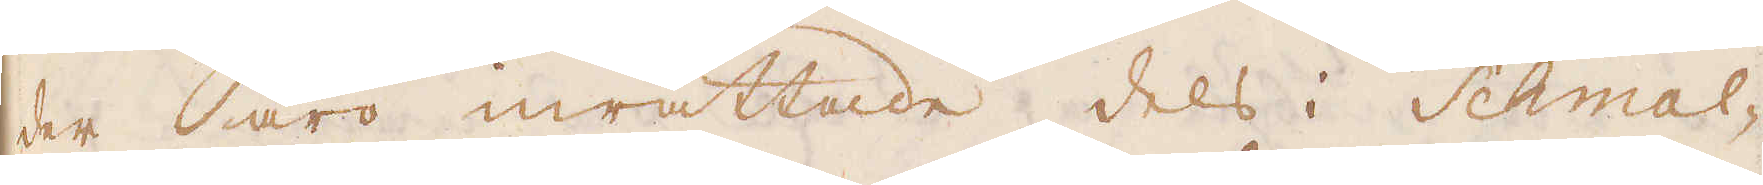ster äro inrättade dels i Schmal-
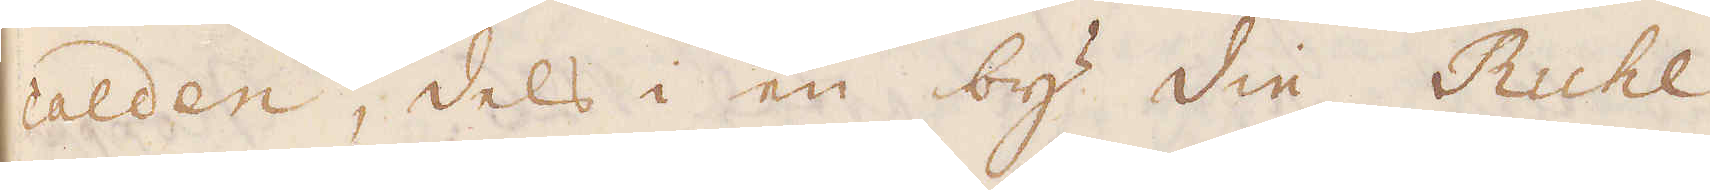calden, dels i en by die Ruhl,
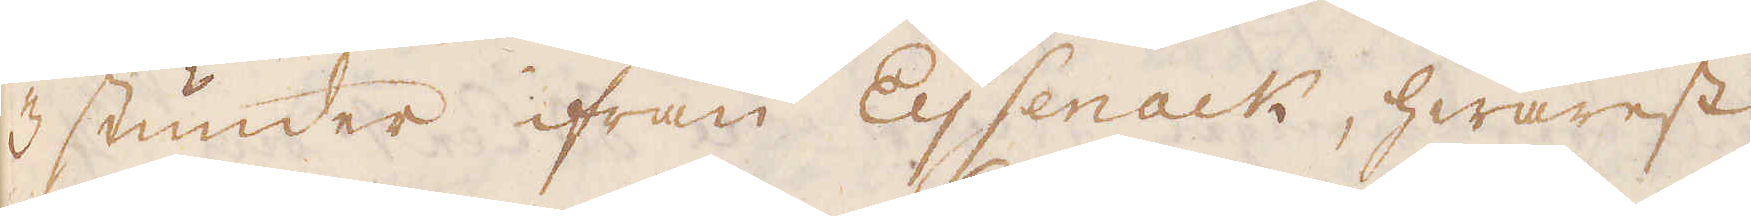3 stunder ifrån Eysenack, hwarest
